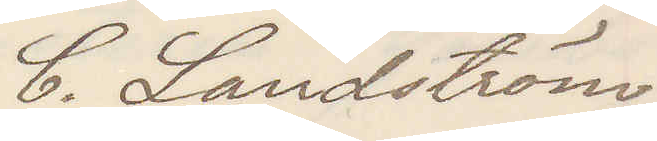C. Landström
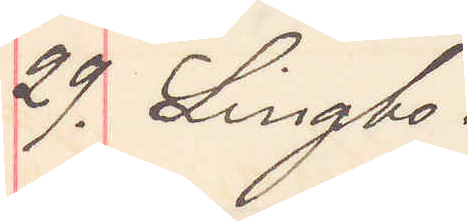29. Lingbo.
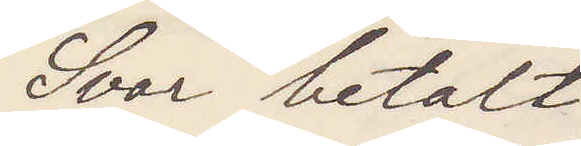Svar betalt
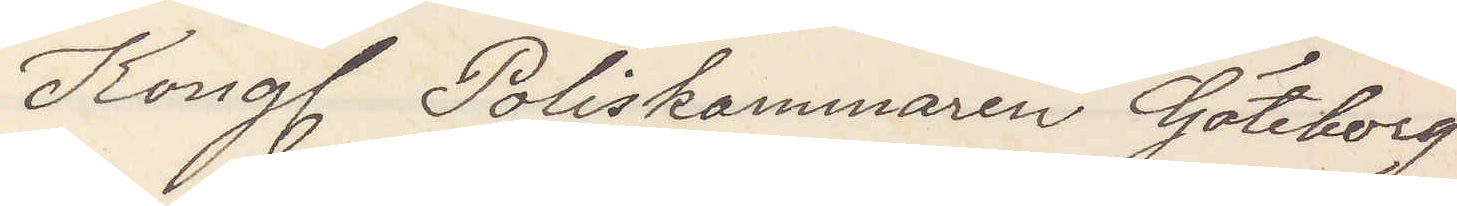Kongl Poliskammaren Göteborg
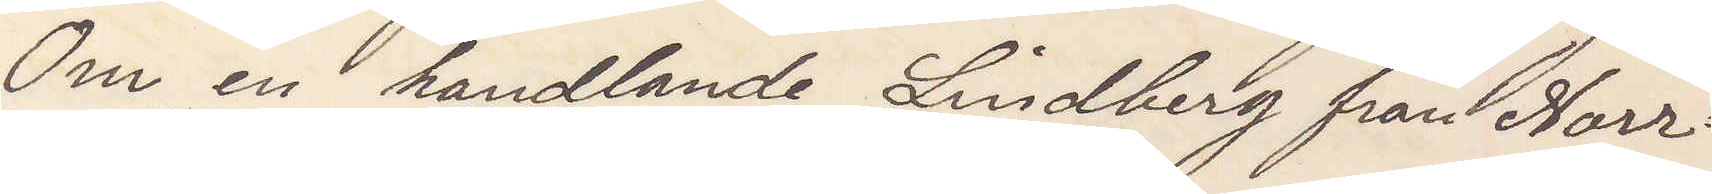Om en handlande Lindberg från Norr¬
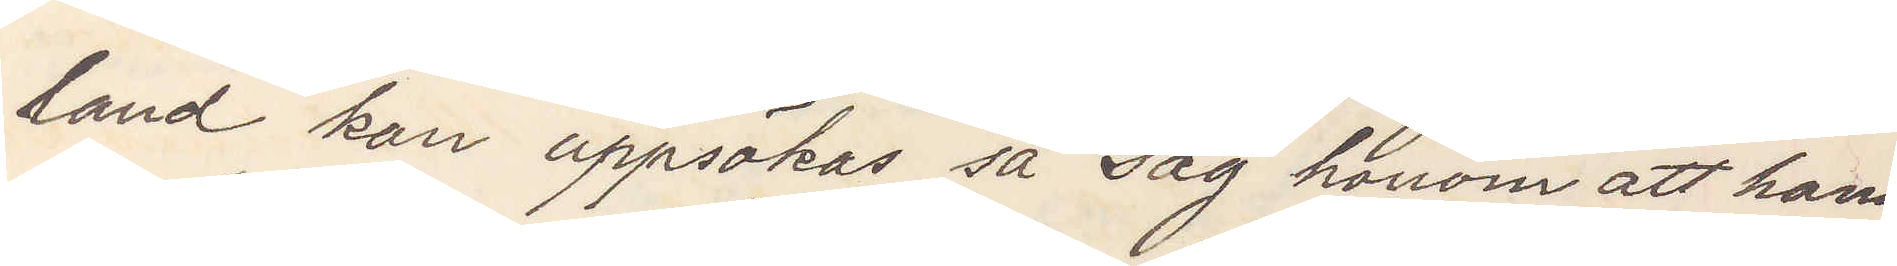land kan uppsökas så säg honom att hans
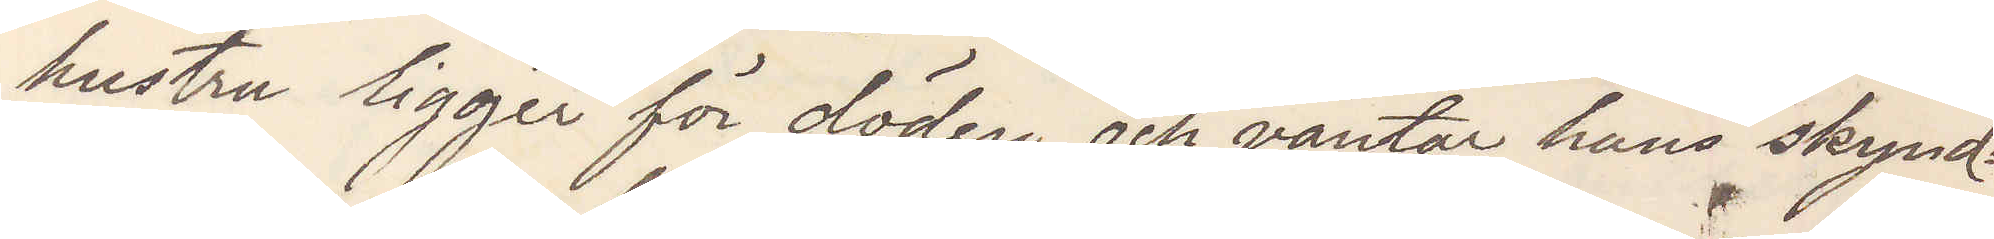hustru ligger för döden och väntar han skynd¬
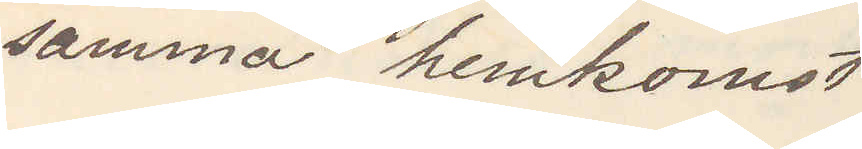samma hemkomst
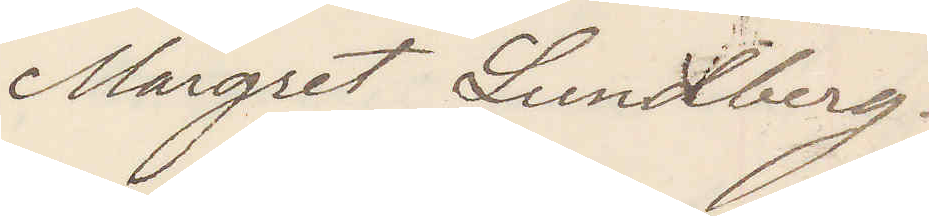Margret Lundberg.
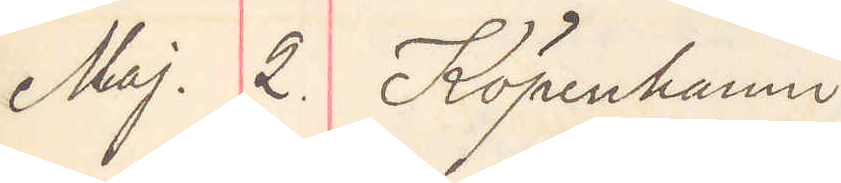Maj. 2. Köpenhamn
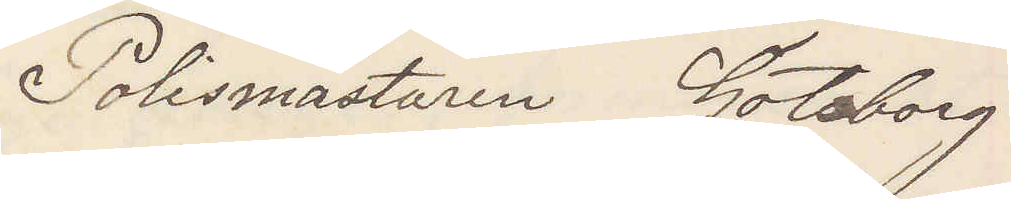Polismästaren Göteborg
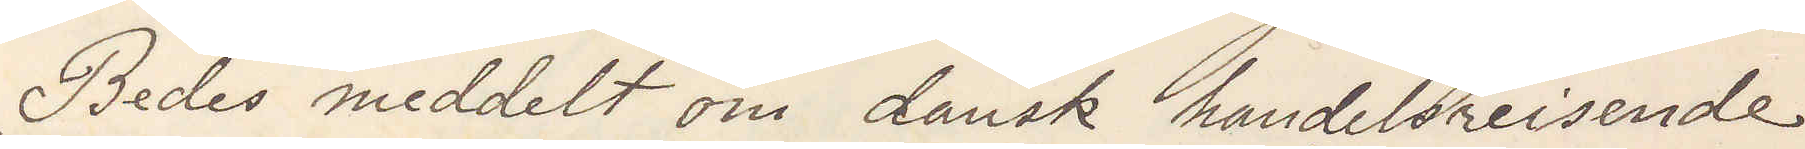Bedes meddelt om dansk handelsreisende
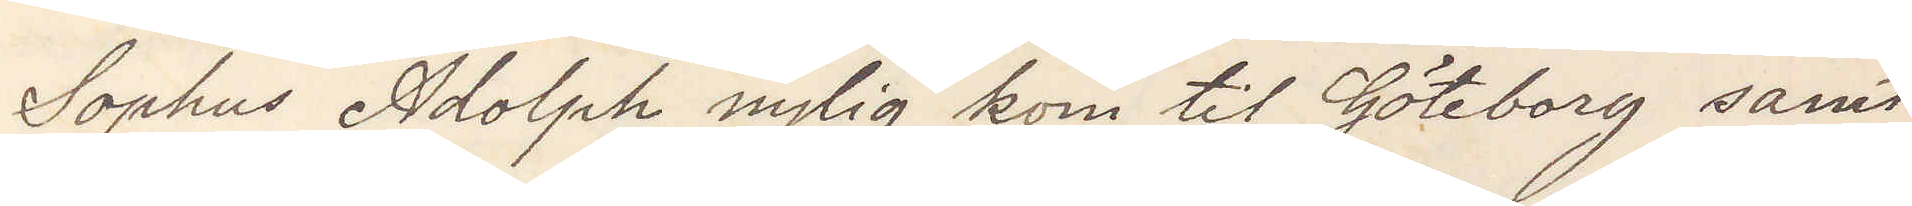Sophus Adolph nylig kom til Göteborg samt
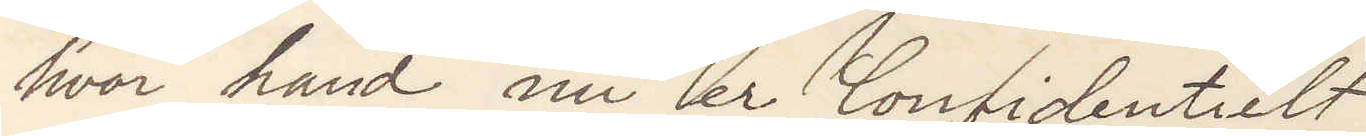hvor hand nu er Confidentielt
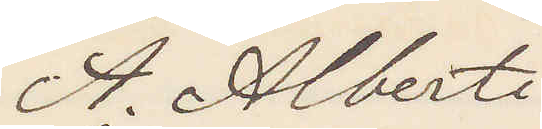A. Alberti
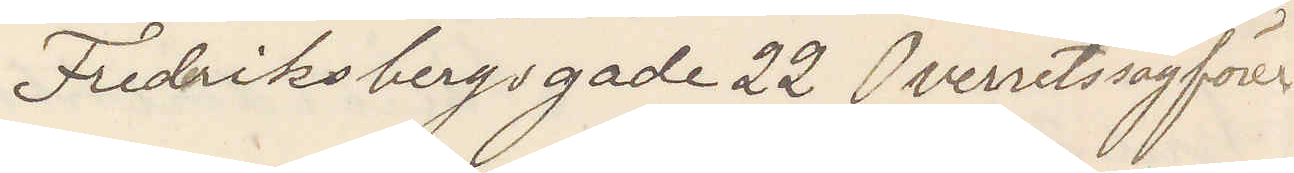Fredriksbergsgade 22 Overretssagförer
